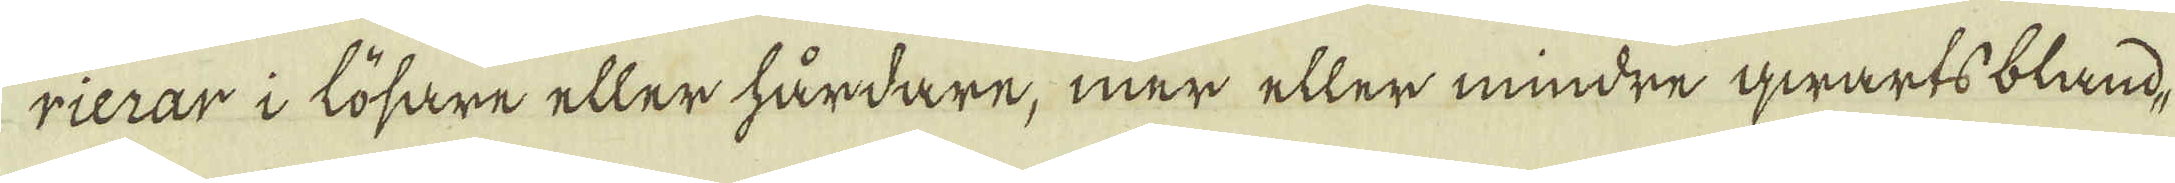rierar i lösare eller hårdare, mer eller mindre qwarts bland-
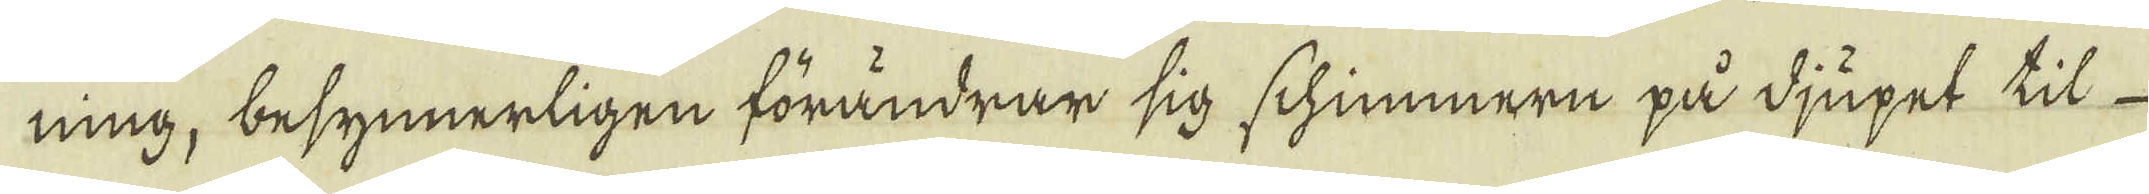ning, besynnerligen förändrar sig schimmern på djupet til
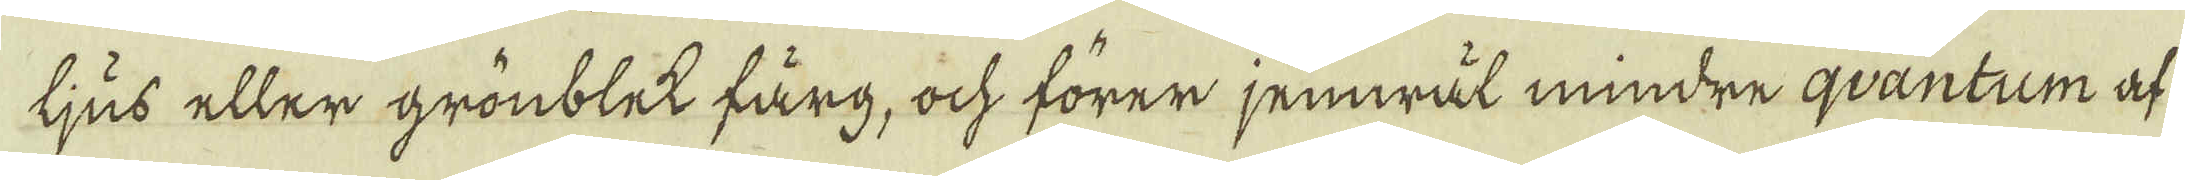ljus eller grönblet färg, ock förer jemwäl mindre qvantum af
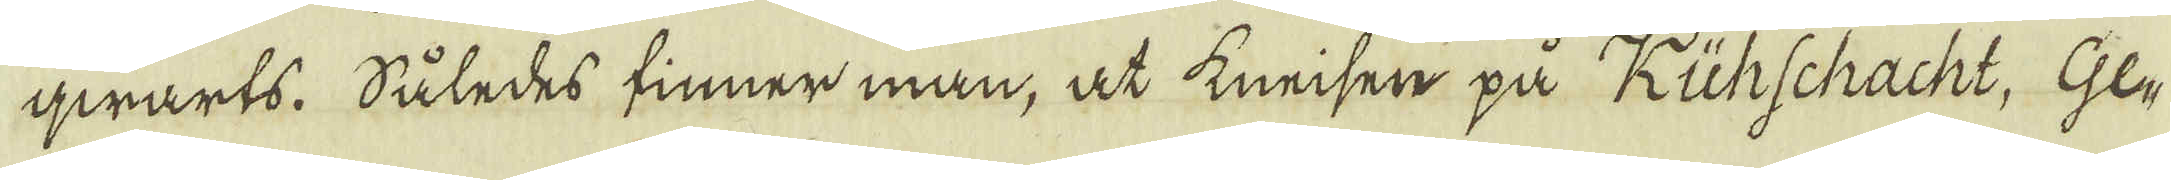qwarts. Således finner man, at kneisen på Kühschacht, Ge-
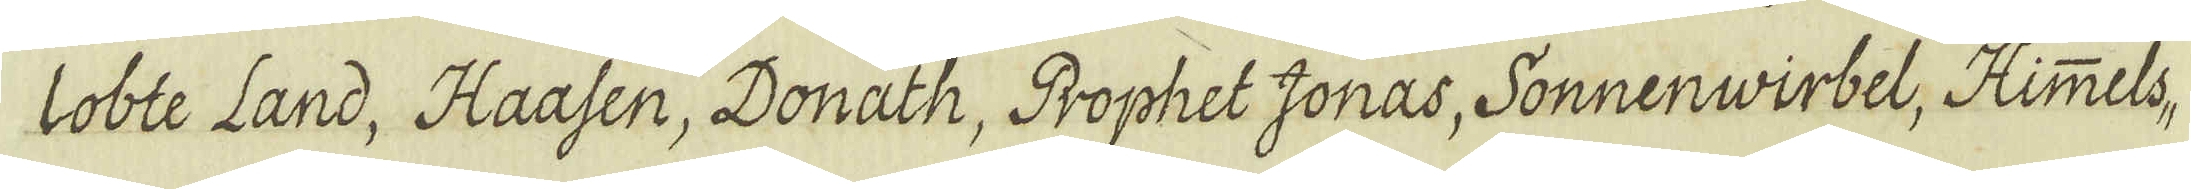lobte Land, Haasen, Donath, Prophet Jonas, Sonnenwirbel, Himmels-
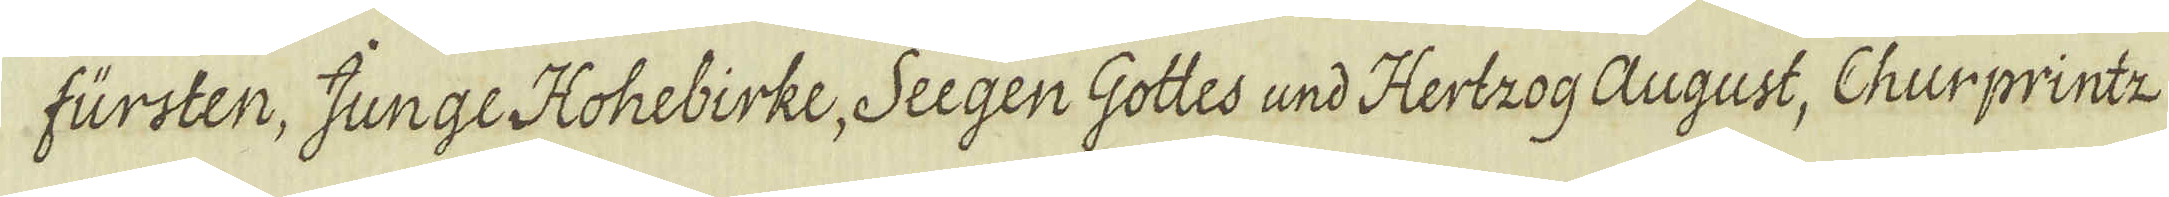fürsten, Junge Hohebirke, Seegen Gottes und Hertzog August, Churprintz
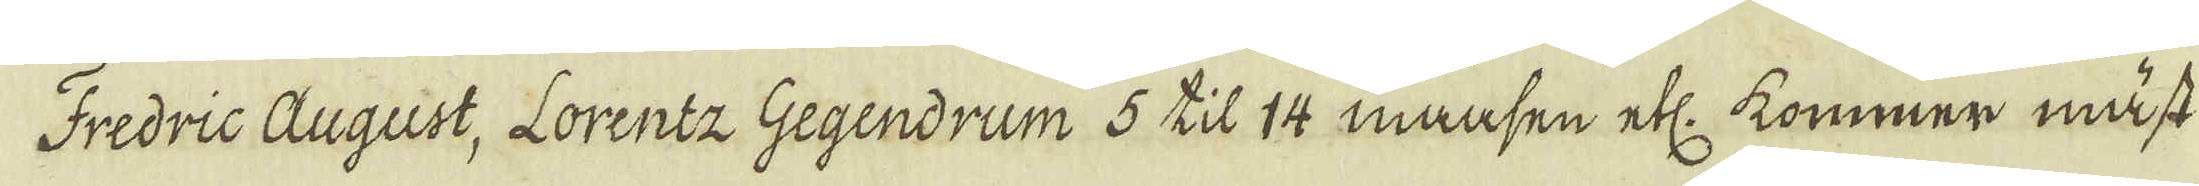Fredric August, Lorentz Gegendrum 5 til 14 maasen etc: kommer mäst
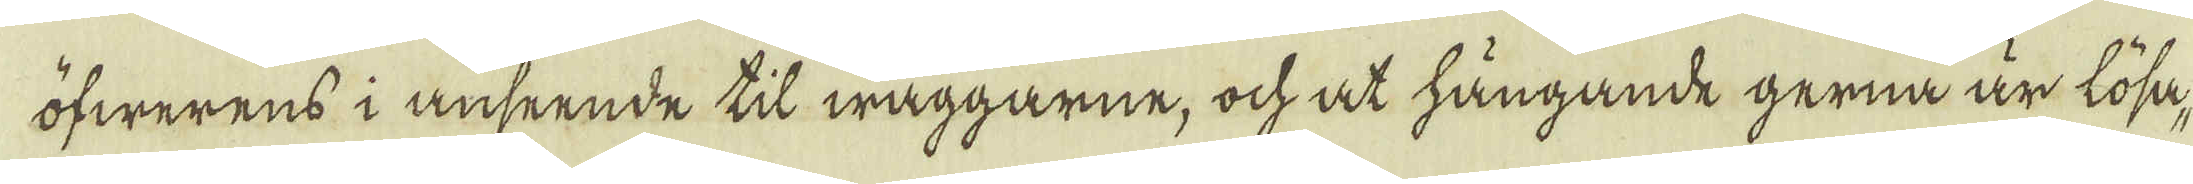öfwerens i anseende til wäggarne, och at hängande gerna är lösa-
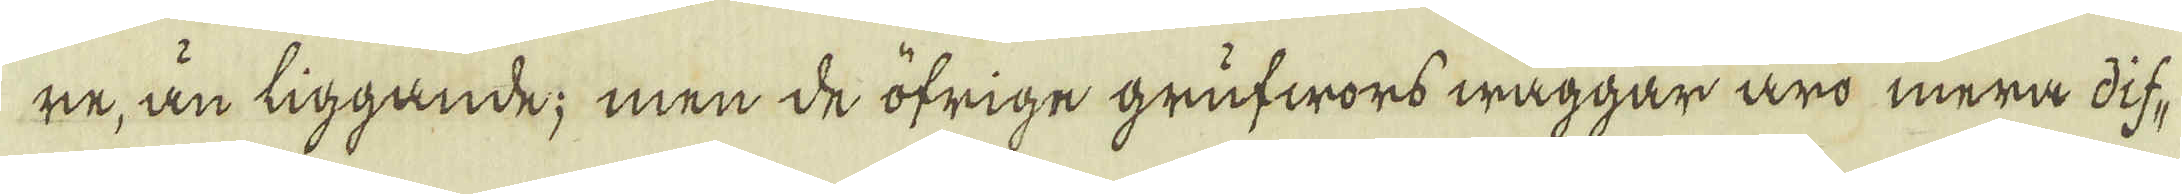ne, än liggande; men de öfrige grufwors wäggar äro mera dif-
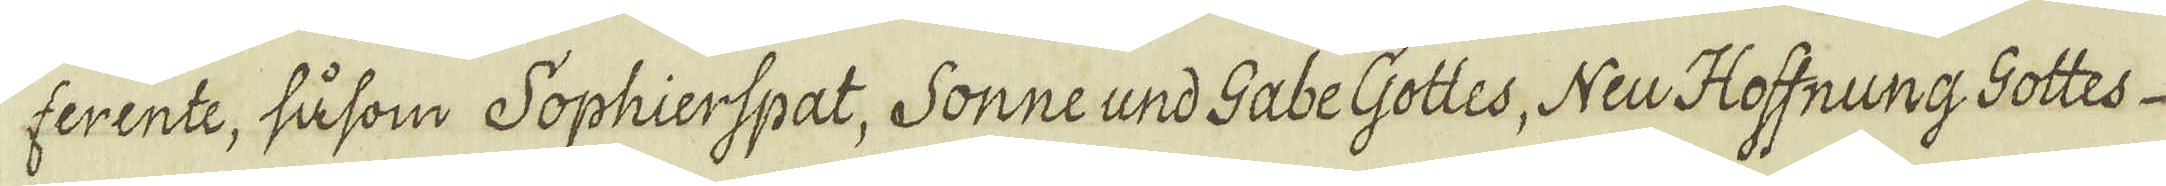ferente, såsom Sophierspat, Sonne und Gabe Gottes, Neu Hoffnung Gottes
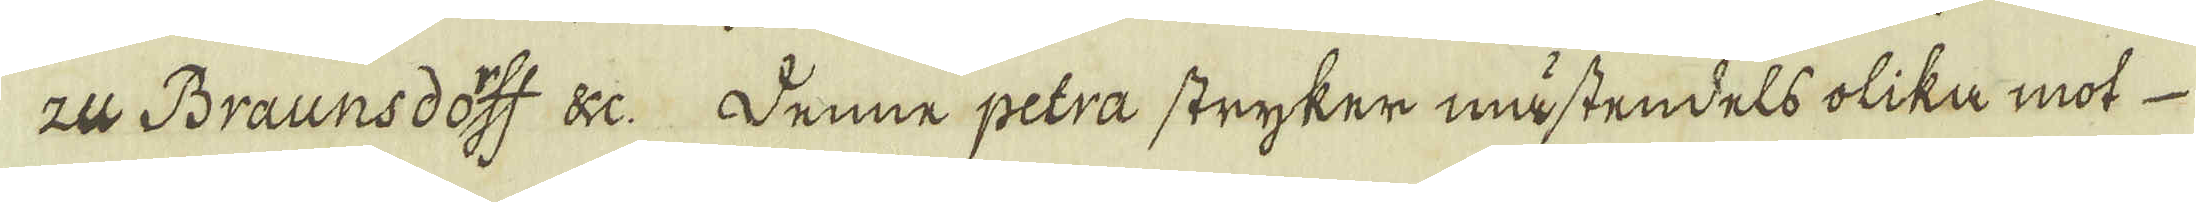zu Braunsdotff &c. Denne petra stryker mästendels olika mot
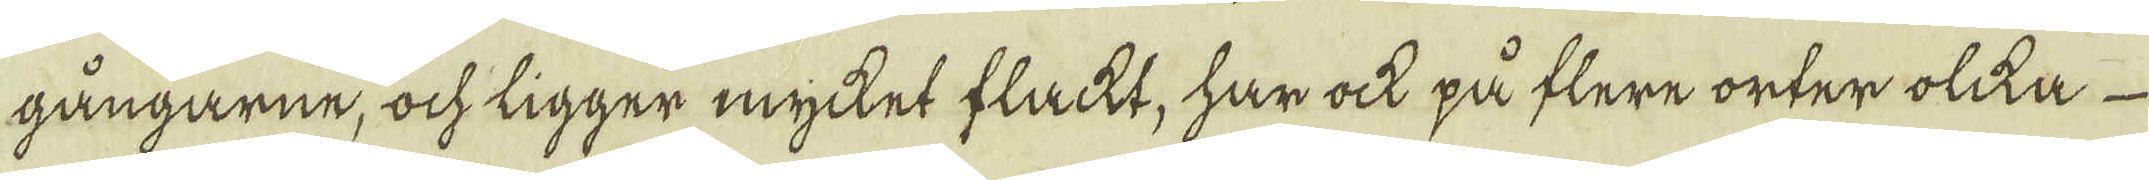gångarne, ock ligger mycket flacht, har ock på flere orter olika
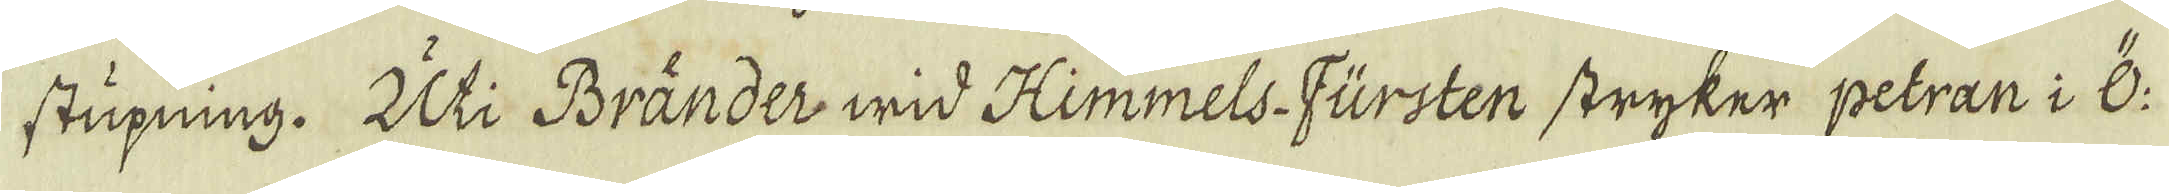stupning. Uti Bränder wid Himmels-Fürsten stryker petran i Ö:
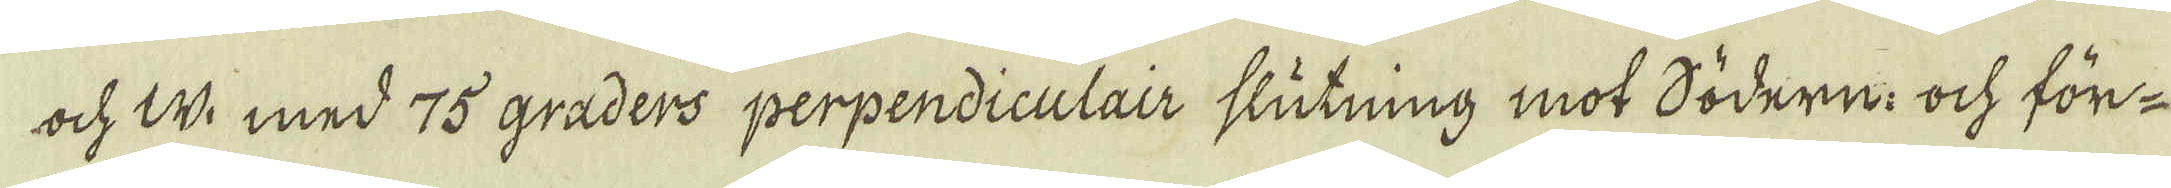och W: med 75 graders perpendiculair slutning mot södern: ock för-
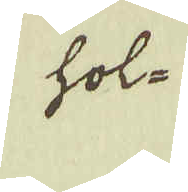hol-
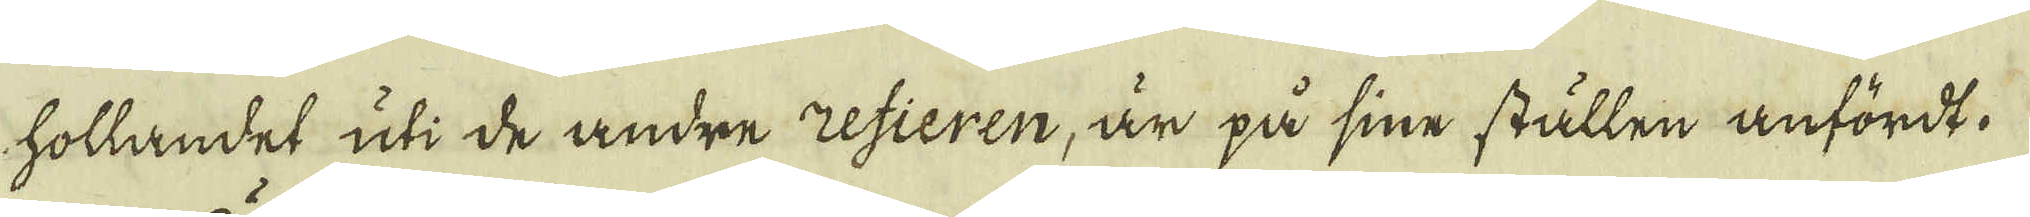hollandet uti de andre refieren, är på sine ställen anfördt.
